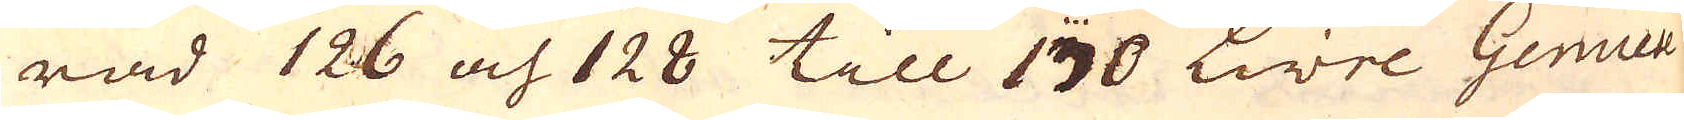rad 126 och 128 till 130 Livre Genuese
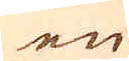en
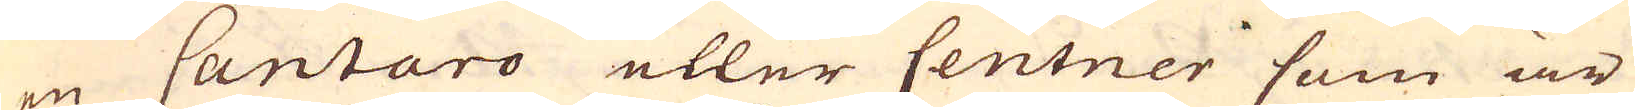en Cantaro eller Centner som är
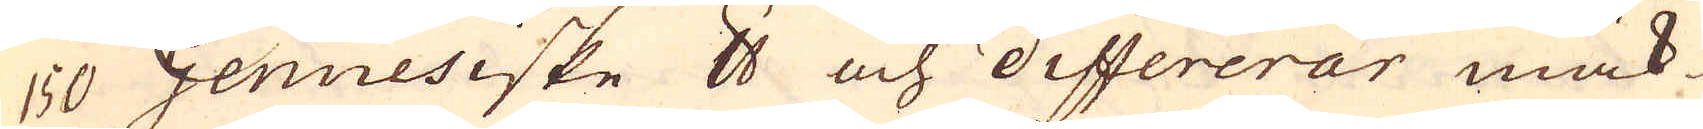150 Gennesiske skålpund och differerar mäk-
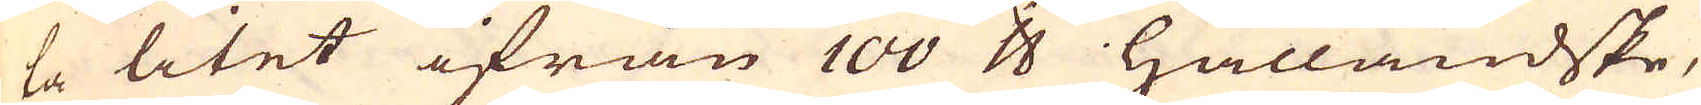ta litet ifrån 100 skålpund Hålländske,
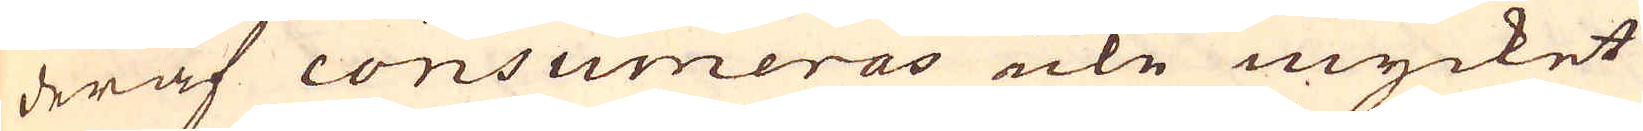deraf consumeras icke mycket
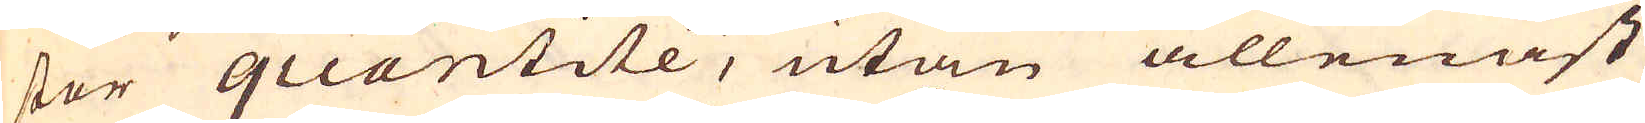stor quantité, utan allenast
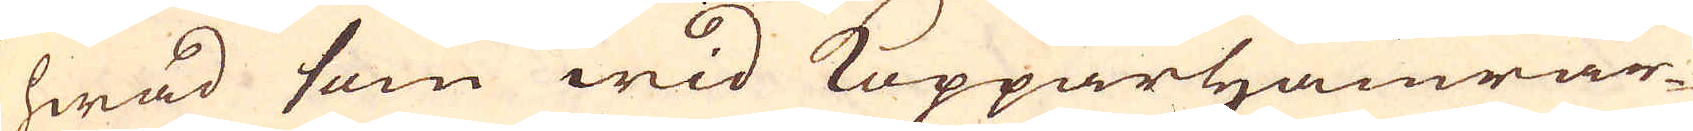hwad som wid Kopparhamrar-
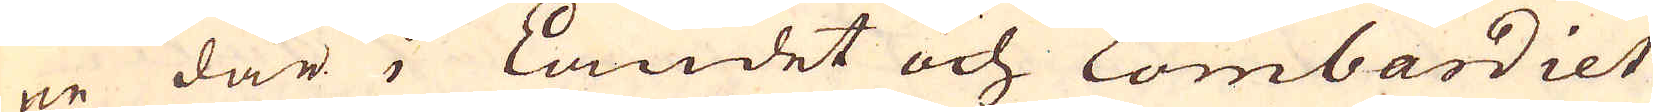ne där i Landet och Lombardiet
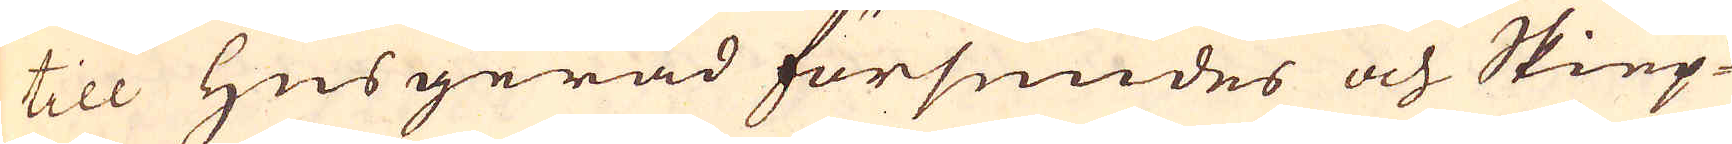till Husgeråd försmides och Skiep-
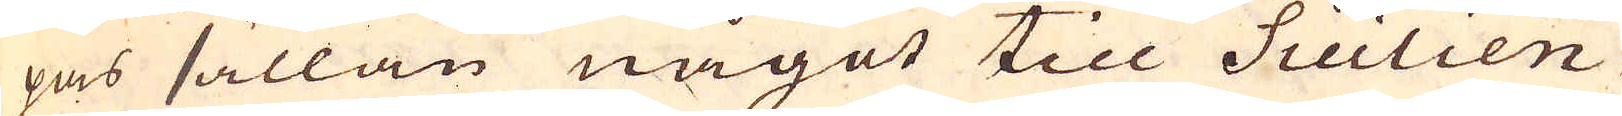pas sällan något till Sicilien
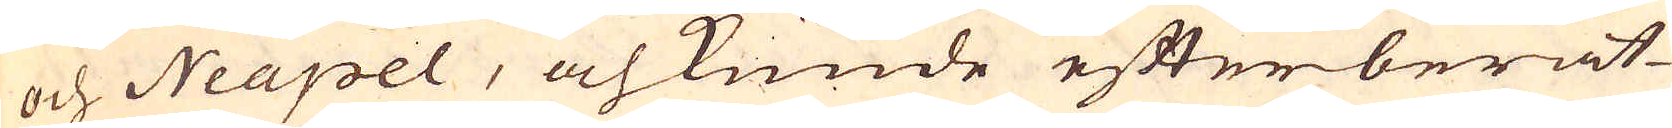och Neapel, och kunde efterberät-
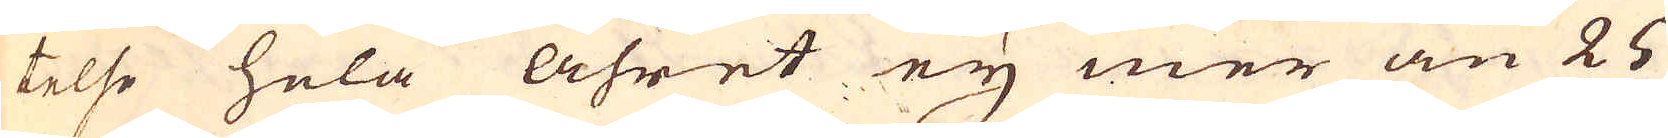telse hela åhret ey mer än 25
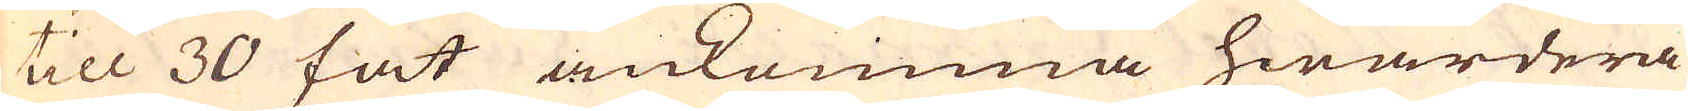till 30 fat ankomma hwardera
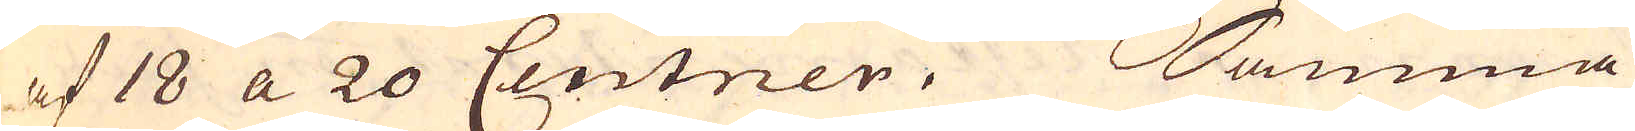af 18 a 20 Centner. Samma
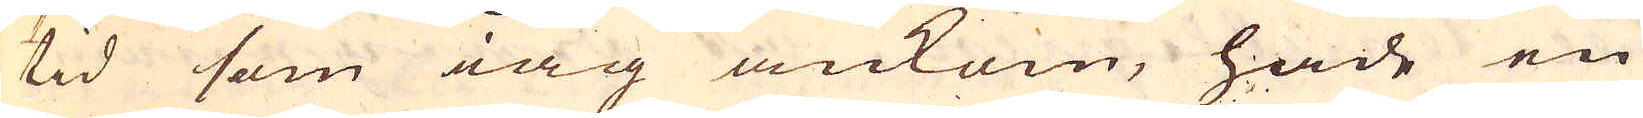tid som iag ankom, hade en
